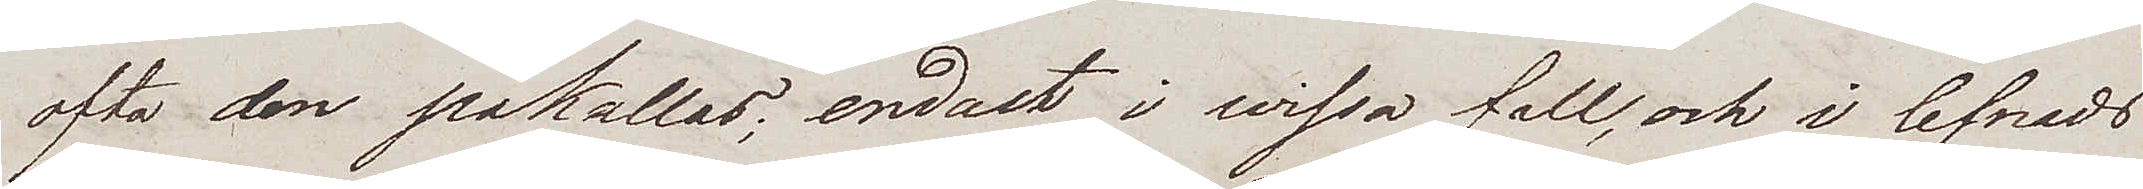ofta den påkallas; endast i wissa fall, och i lefnads¬
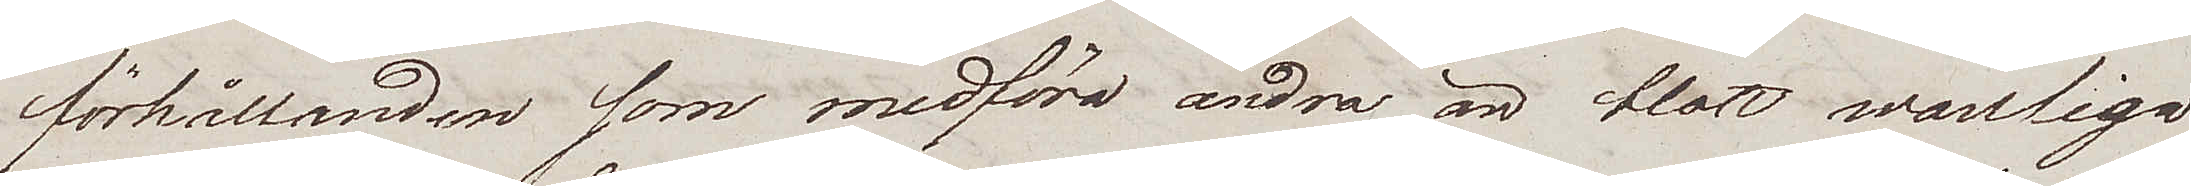förhållanden som medföra andra än blott wanliga
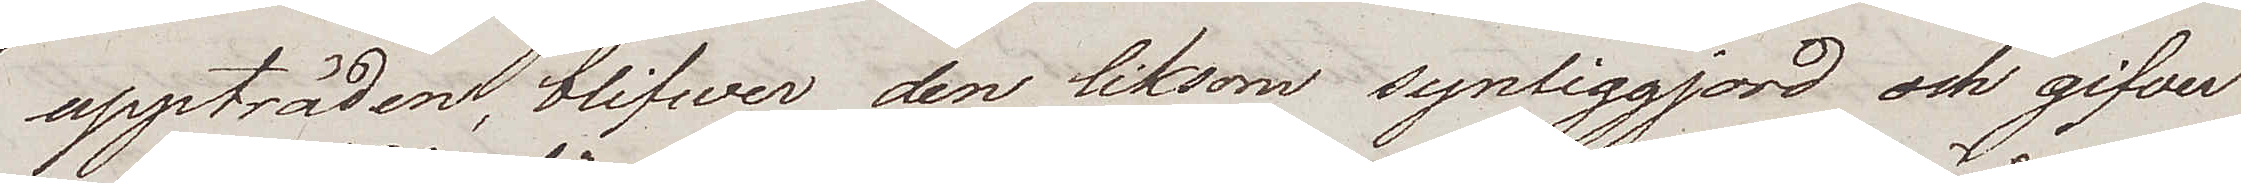uppträden, blifwer den liksom synliggjord och gifver
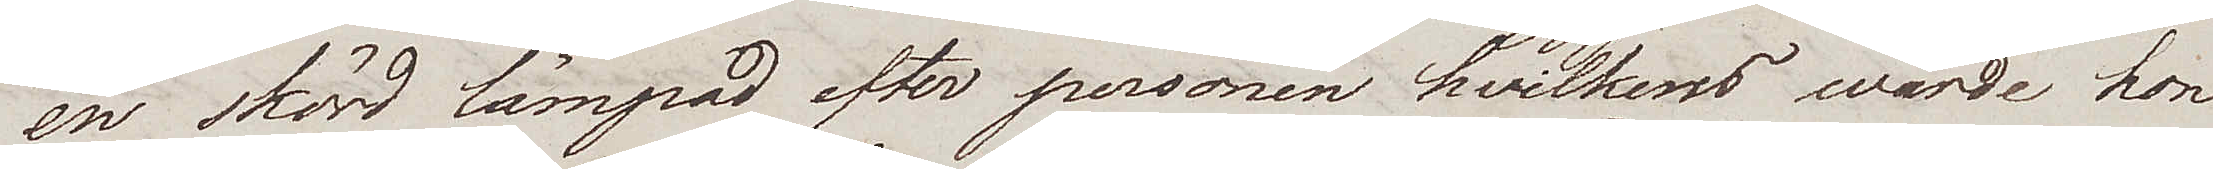en skörd lämpad efter personen hvilkens wärde hon
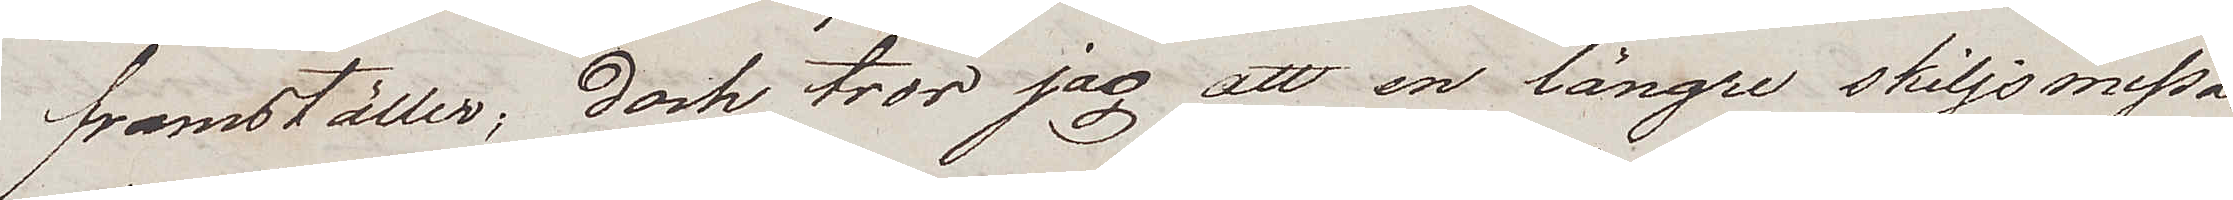framställer; dock tror jag att en längre skiljsmessa
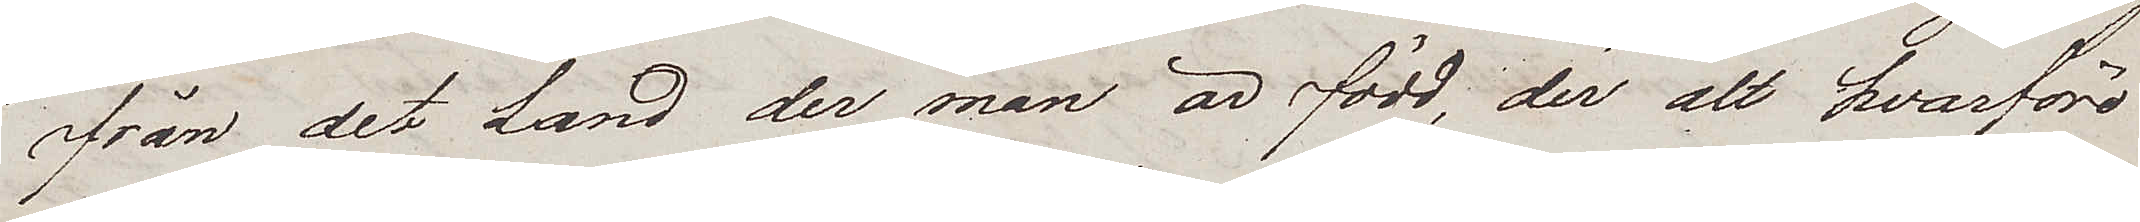från det Land der man är född, der alt hvarföre
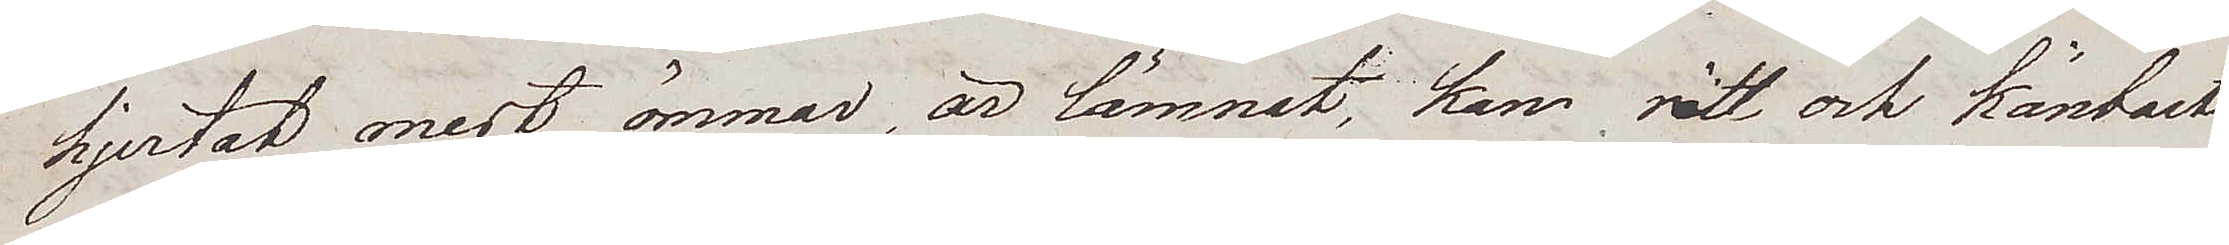hjertat mest ömmar är lämnat, kan rätt och känbart
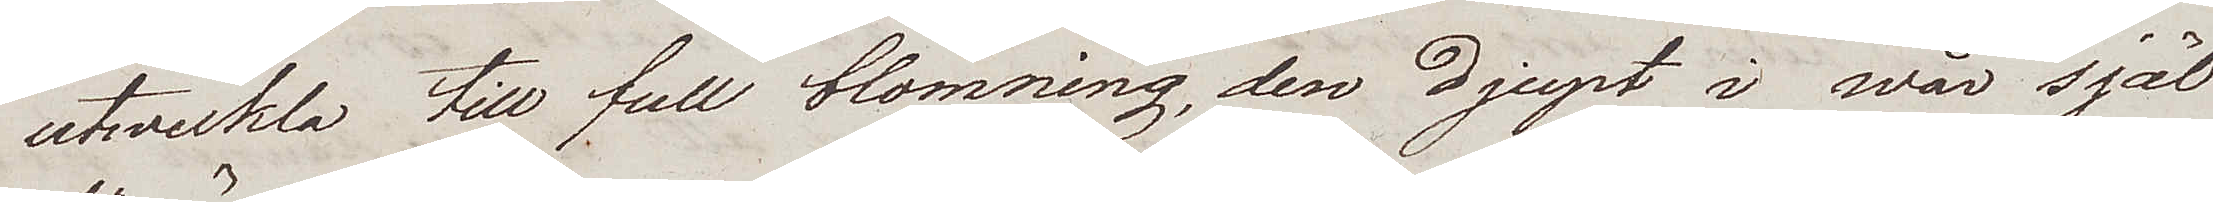utwekla till full blomning, den djupt i wår själ
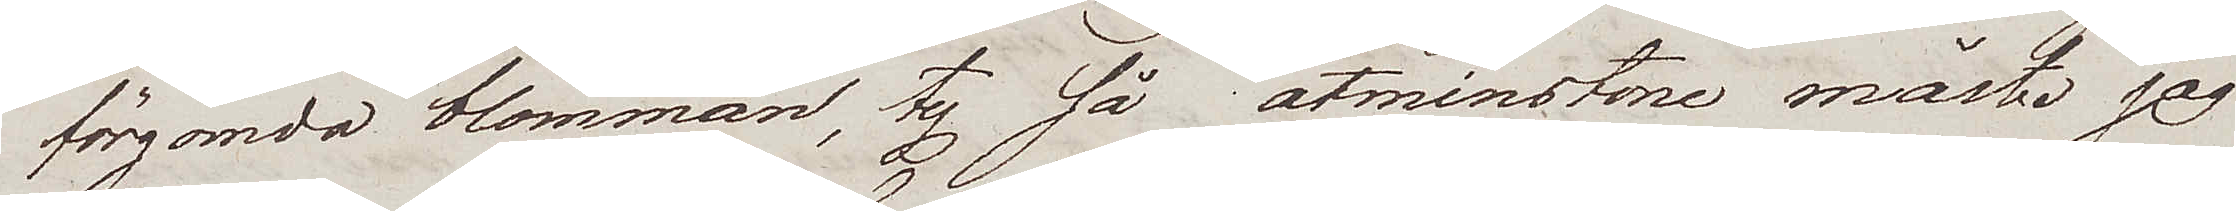förgömda blomman, ty så åtminstone måste jag
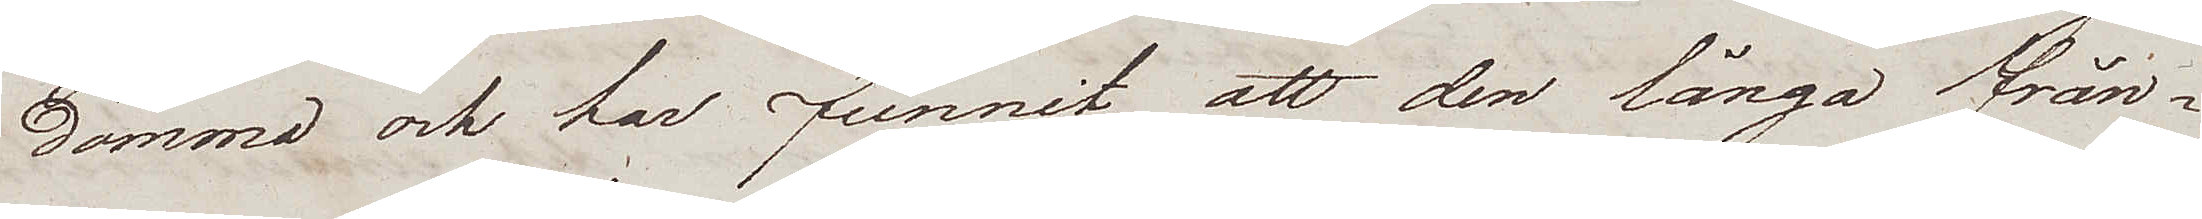dömma och har funnit att den långa från¬
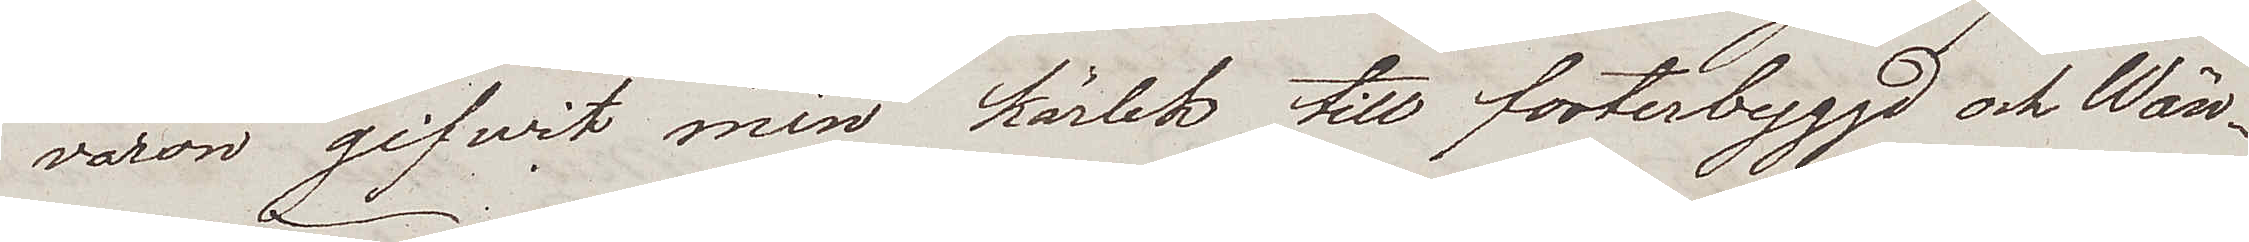varon gifvit min kärlek till fosterbyggd och Wän¬
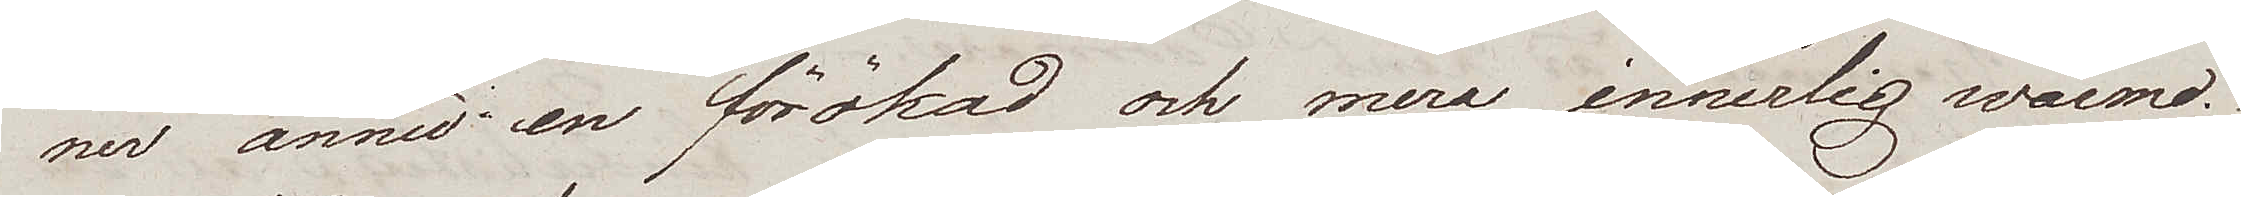ner ännu en förökad och mera innerlig wärme.
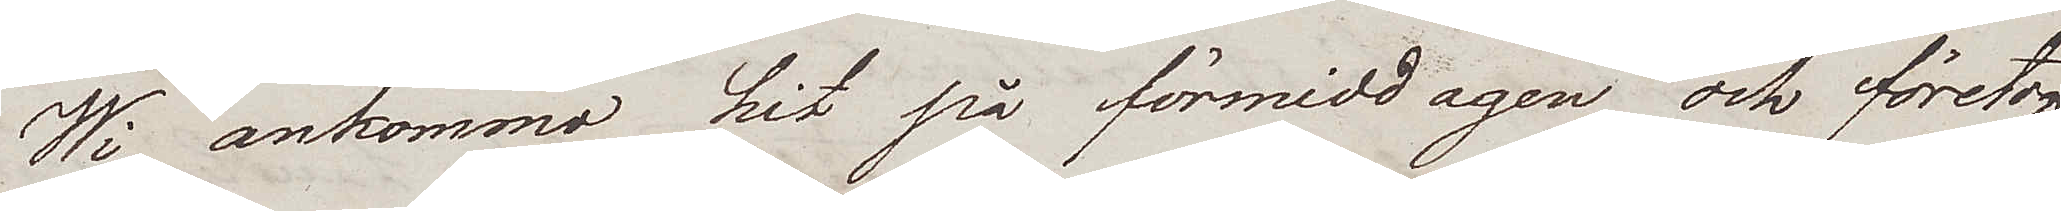Wi ankommo hit på förmiddagen och företogo
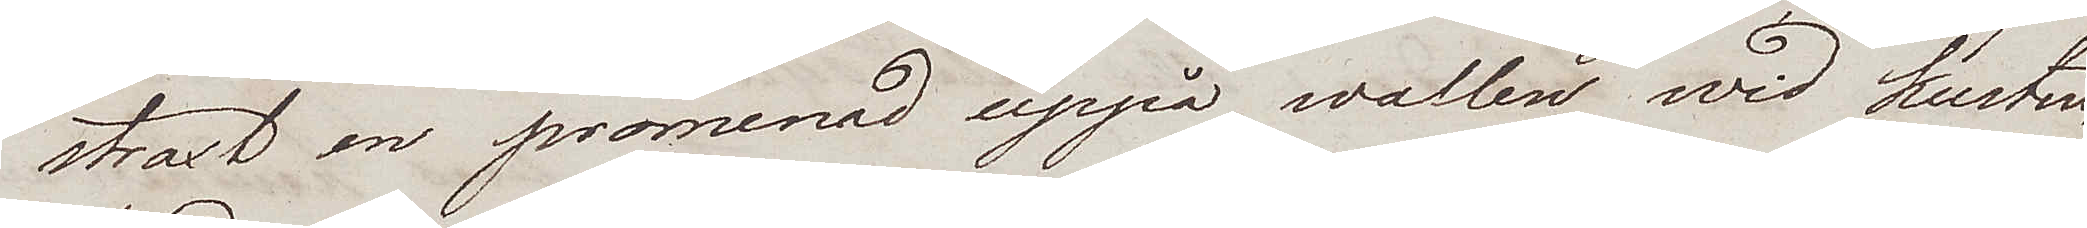straxt en promenad uppå wallen wid Kusten
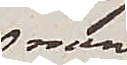men
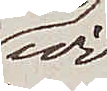wi
